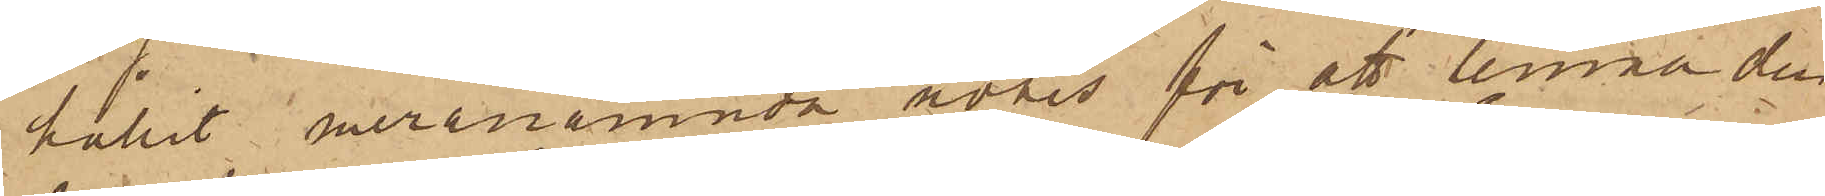hållit meranämnda notis för att lemna den
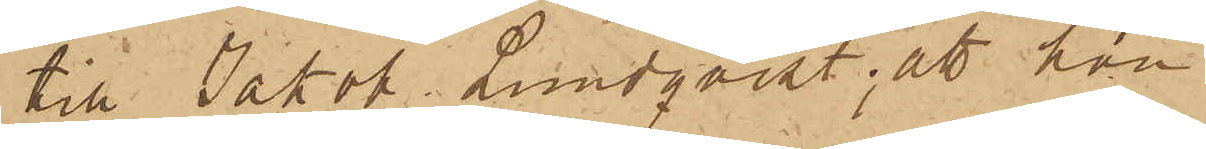till Jakob Lundqvist; att hon
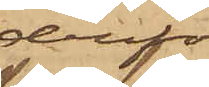derför
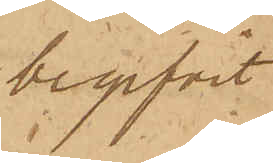begifvit
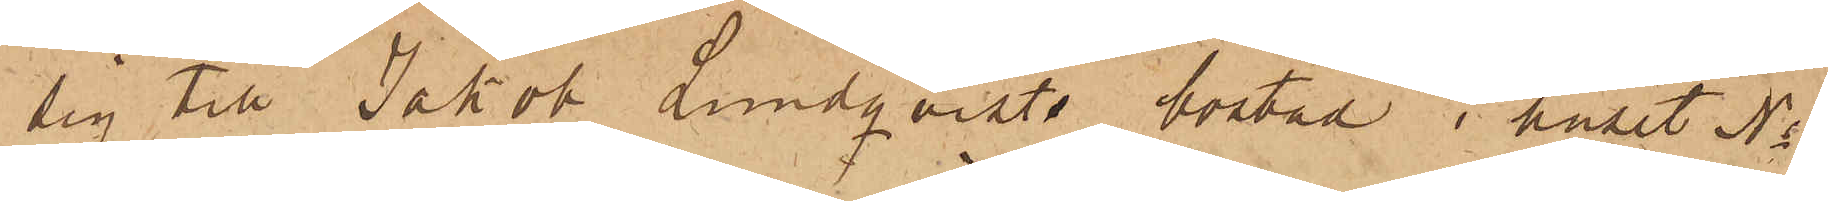sig till Jakob Lundqvists bostad i huset No
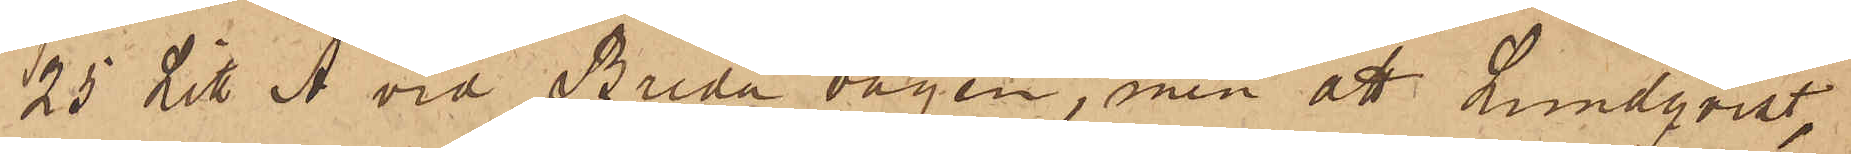25 Litt. A vid Breda vägen, men att Lundqvist,
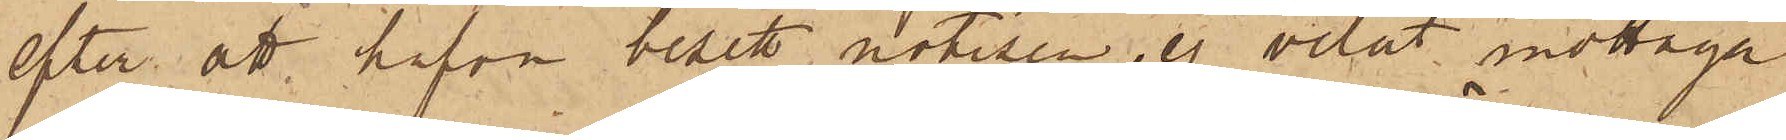efter att hafva besett notisen, ej velat mottaga
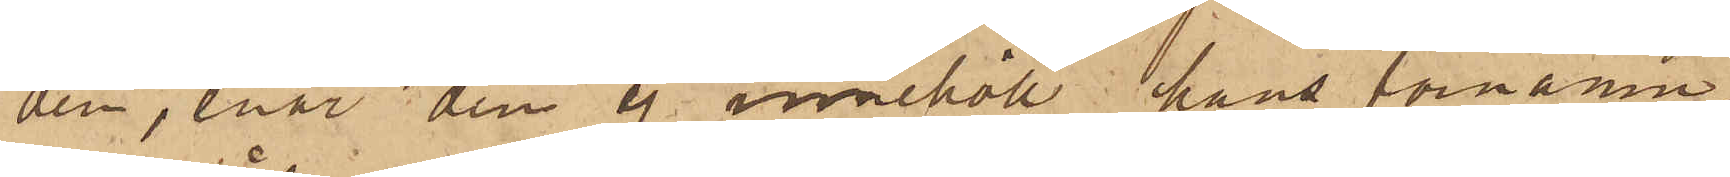den, enär den ej innehöll hans förnamn,
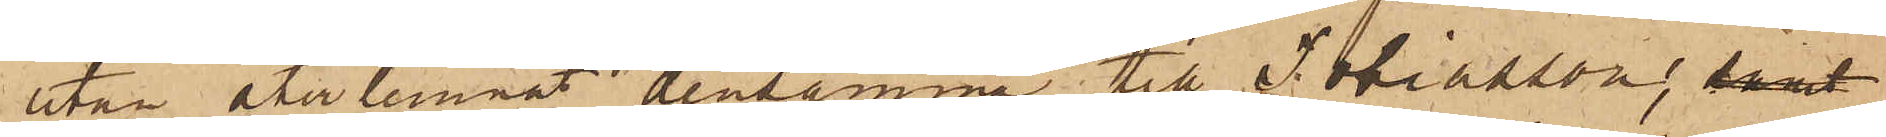utan återlemnat densamma till Tobiasson, samt
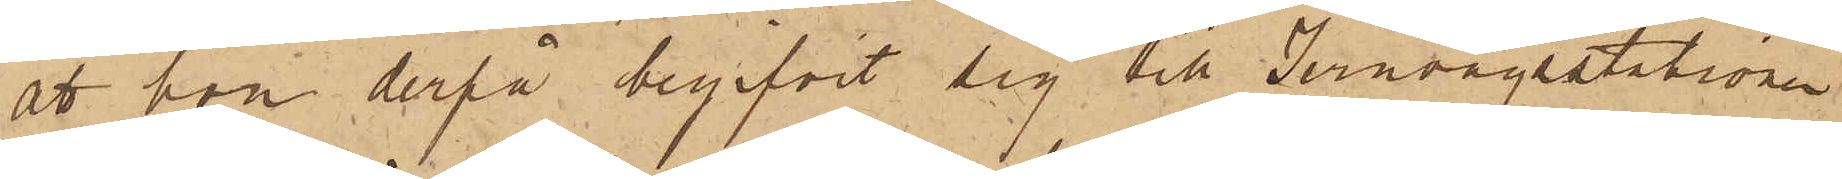att hon derpå begifvit sig till Jernvägsstationen
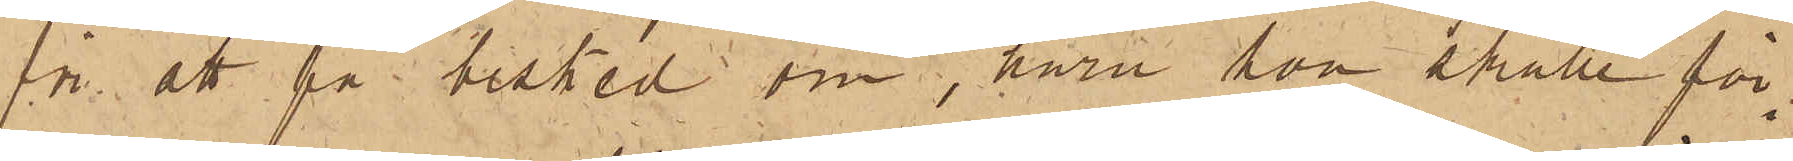för att få besked om, huru hon skulle för¬
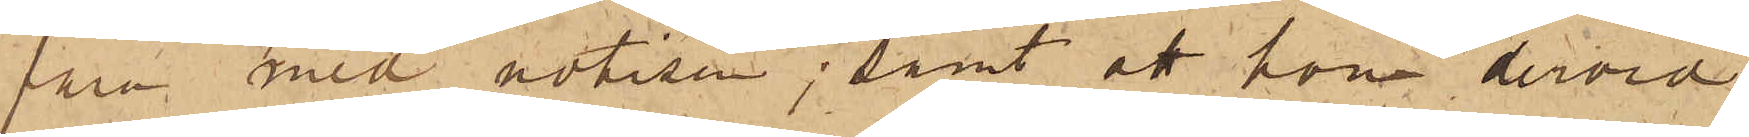fara med notisen; samt att hon dervid
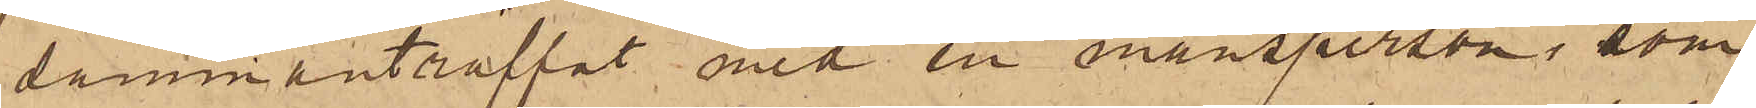sammanträffat med en mansperson, som
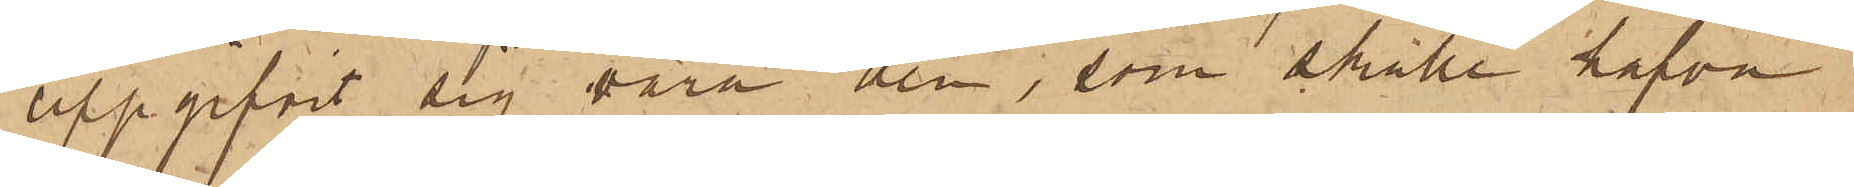uppgifvit sig vara den, som skulle hafva
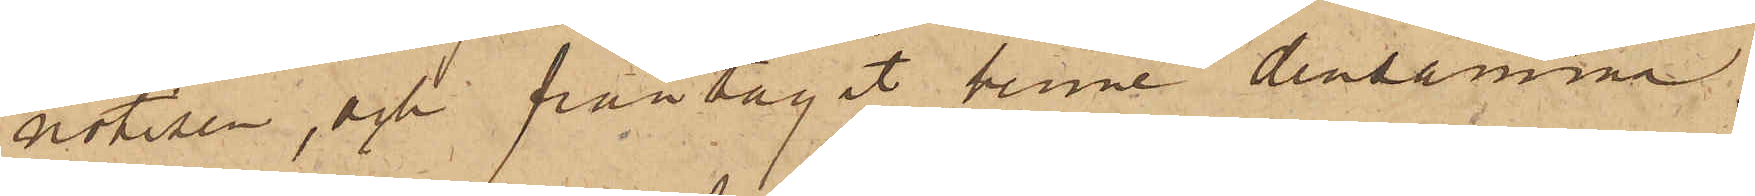notisen, och fråntagit henne densamme.
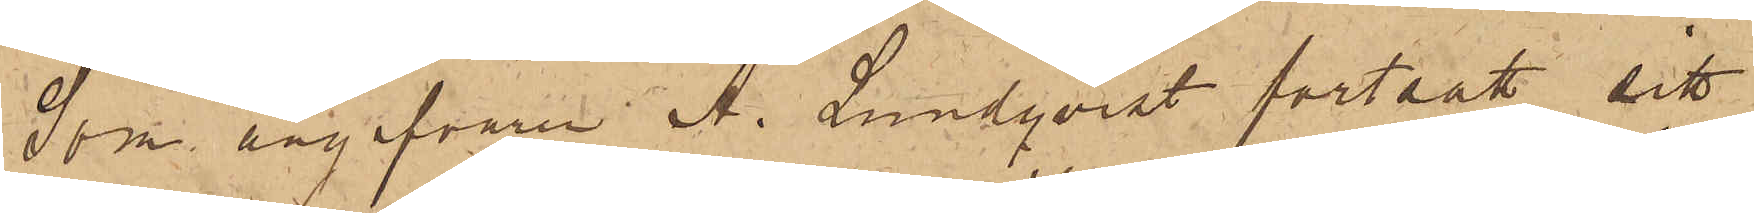Som angifvaren A. Lundqvist fortsatt sitt
